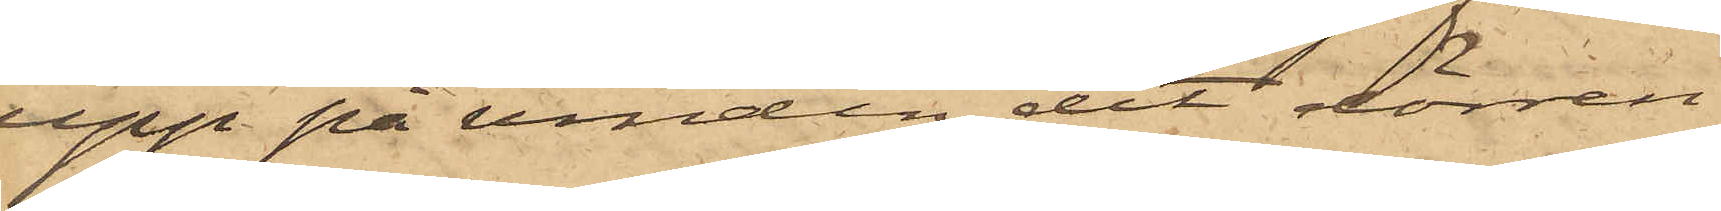upp på vinden, dit dörren
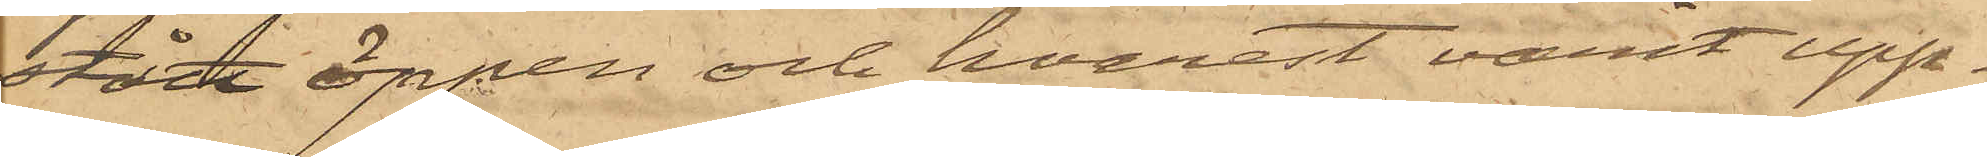stått öppen och hvarest varit upp¬
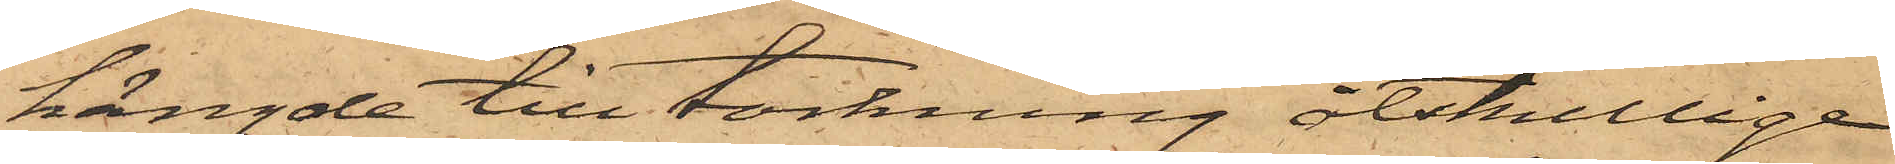hängde till torkning åtskillige
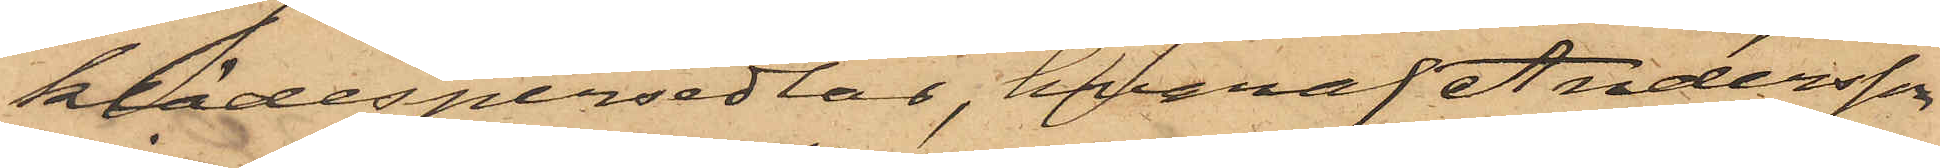klädespersedlar, hvaraf Andersson
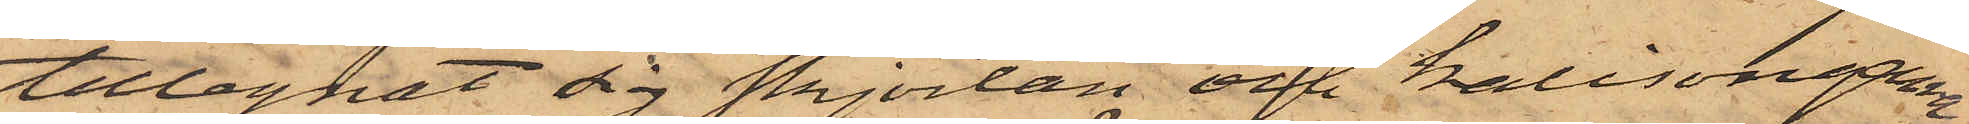tillegnat sig skjortan och kalisongerna,
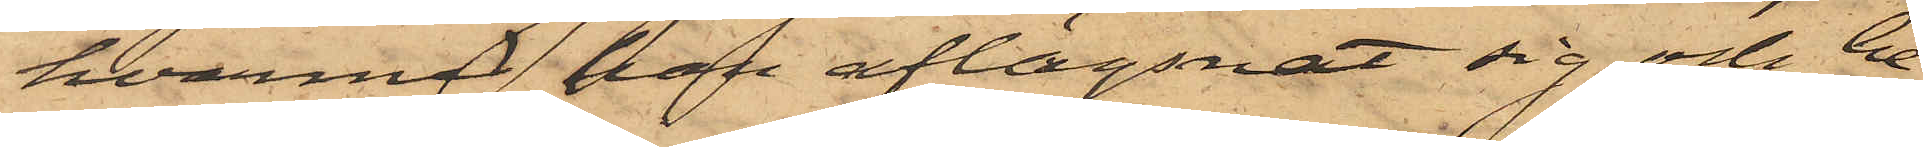hvarmed han aflägsnat sig och be¬
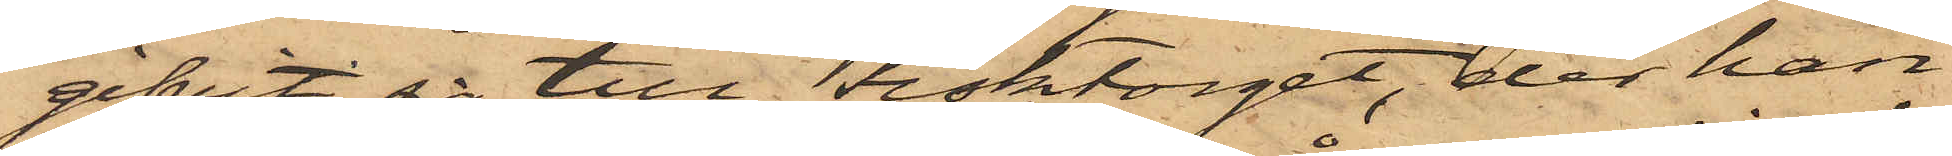gifvit sig till Fisktorget, der han
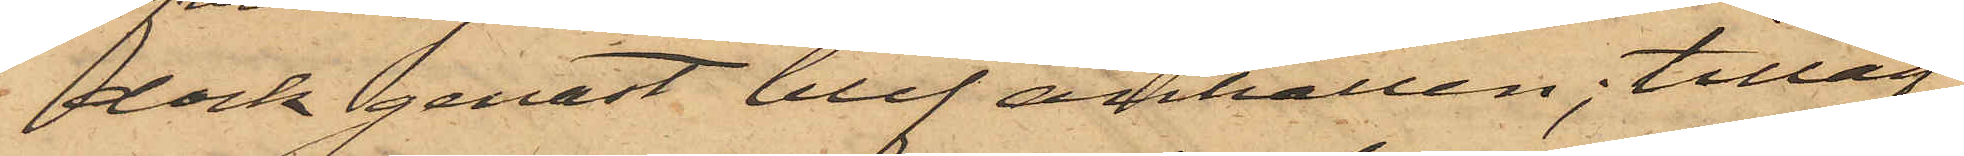dock genast blef anhållen; tilläg¬
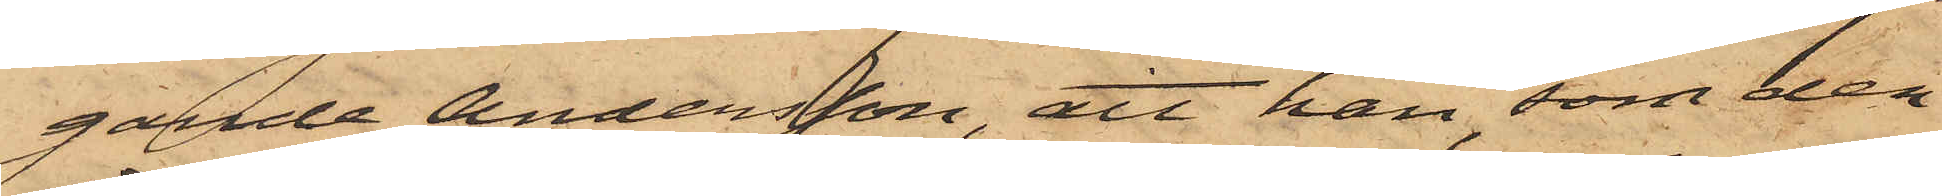gande Andersson, att han, som den
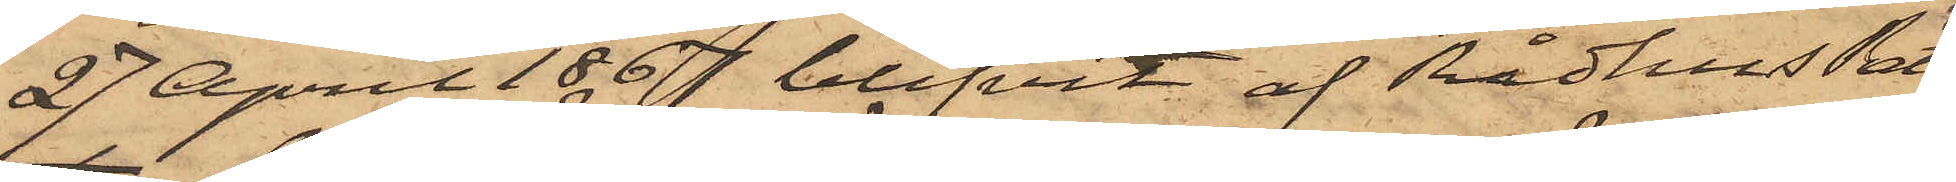27 April 1867 blifvit af RådhusRät¬
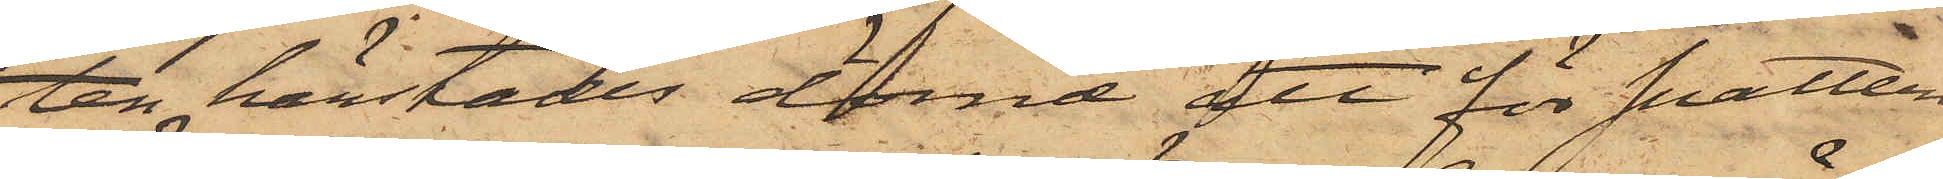ten härstädes dömd att för snatteri
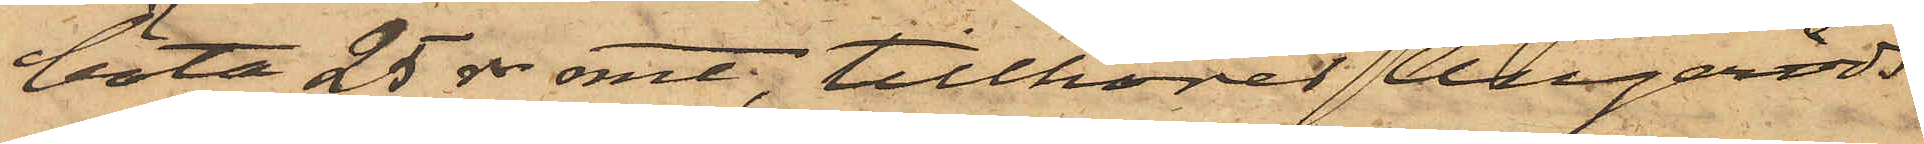böta 25 rdr rmt, tillhörer Angeröds
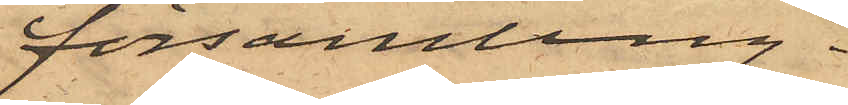församling.
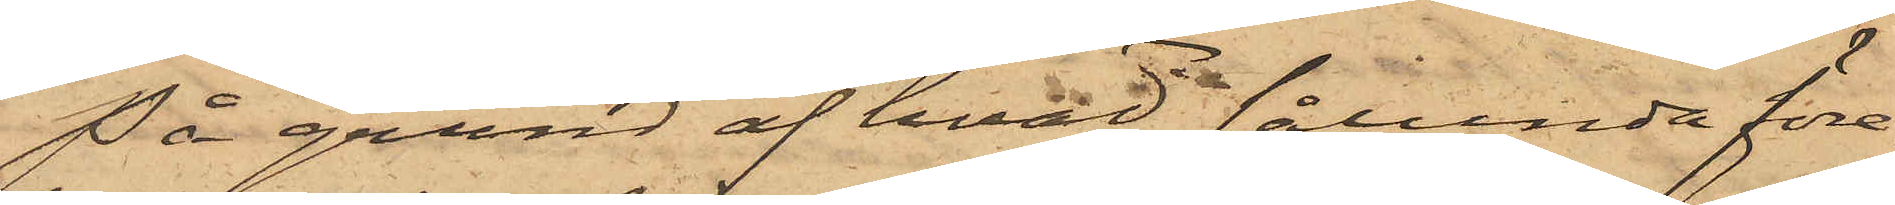På grund af hvad sålunda före¬
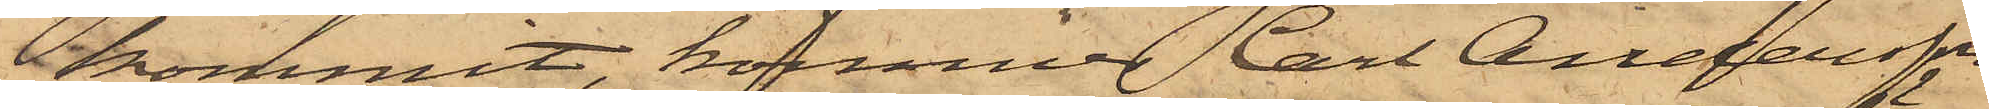kommit, kommer Carl Andersson
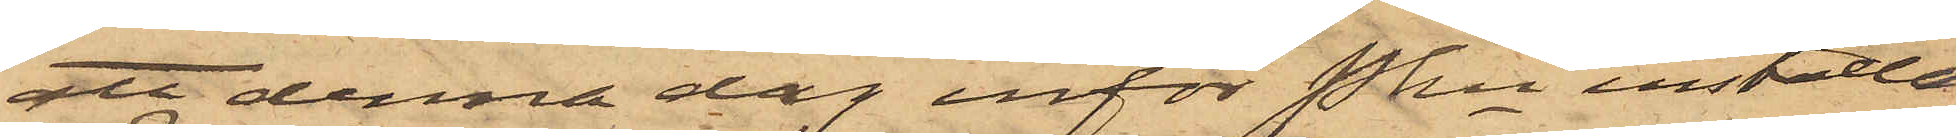att denna dag inför Pkn inställas.
